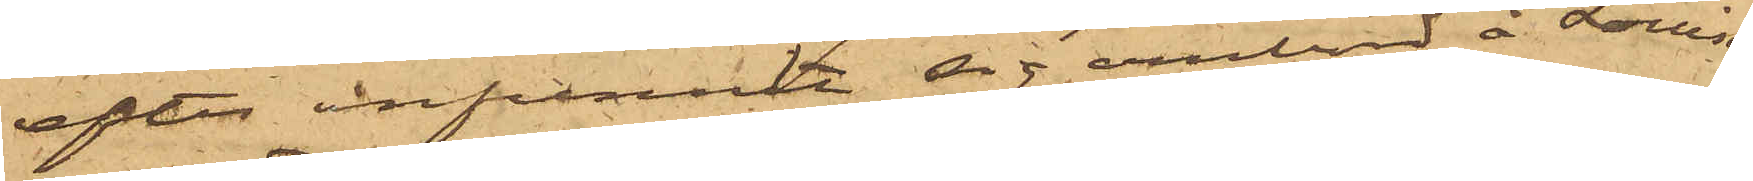efter infunnit sig ombord å Louise
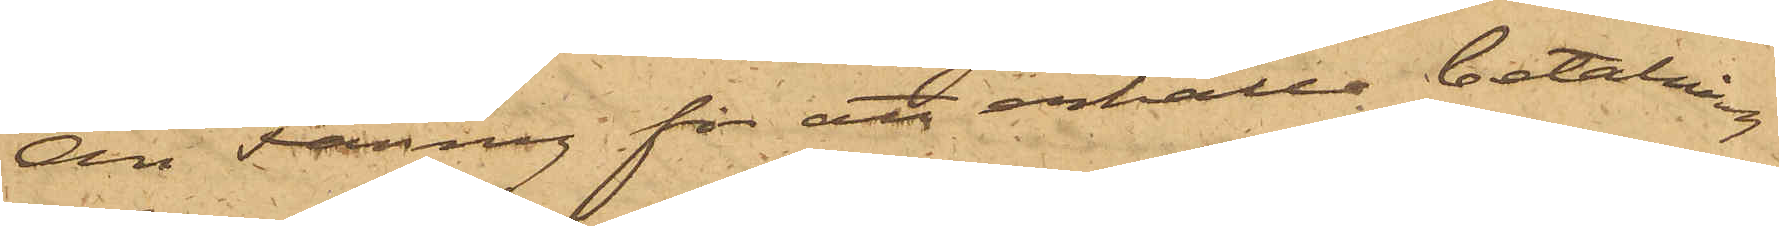Ann Fanny för att erhålla betalning
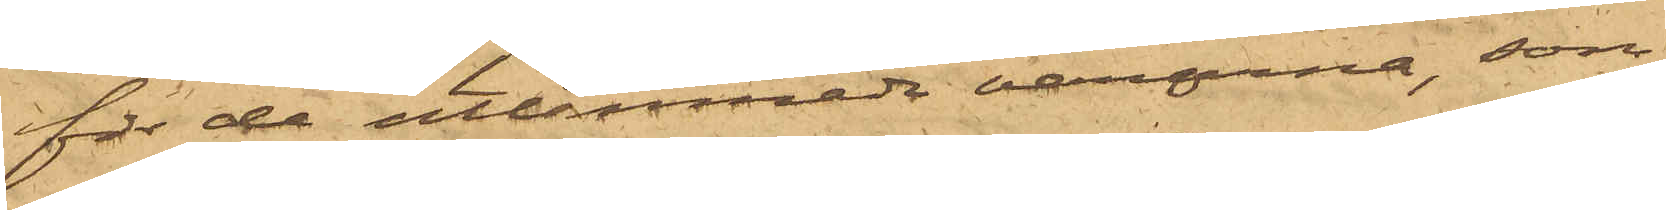för de utlemnade varorna, som
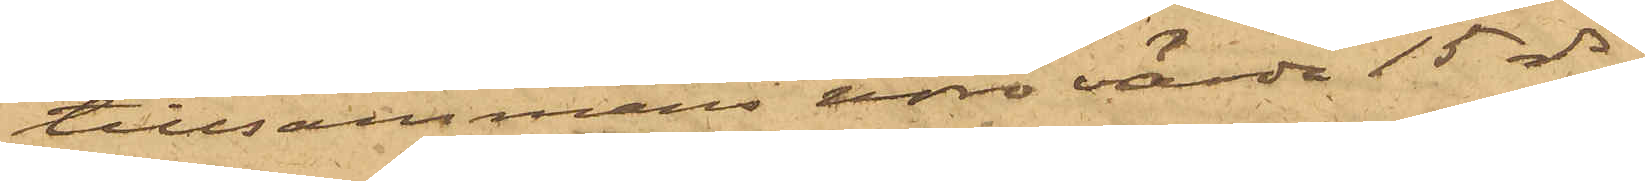tillsammans voro värde 15 rdr,
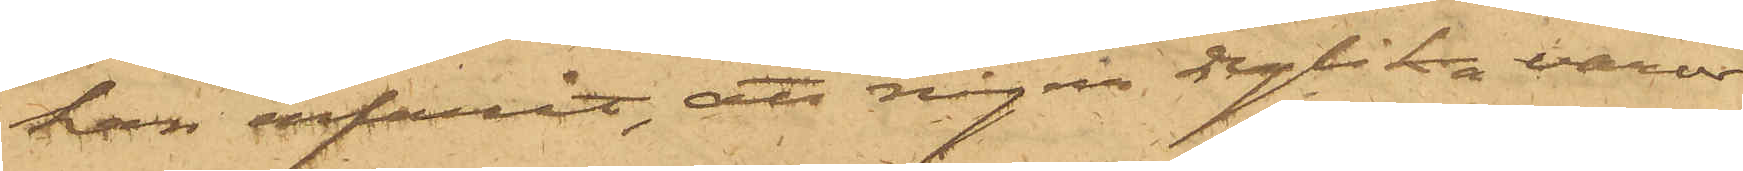han erfarit, att några dylika varor
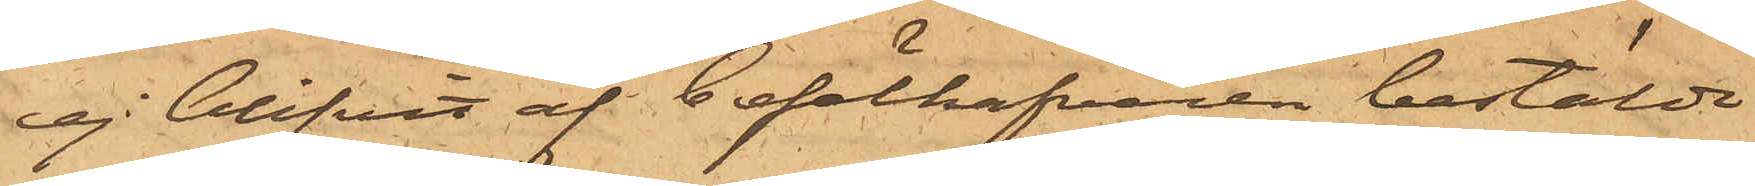ej blifvit af befälhafvaren bestälde
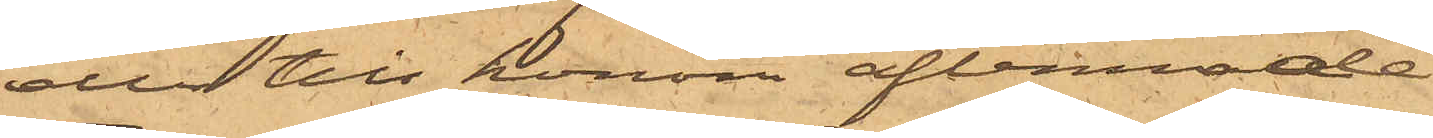eller till honom aflemnade;
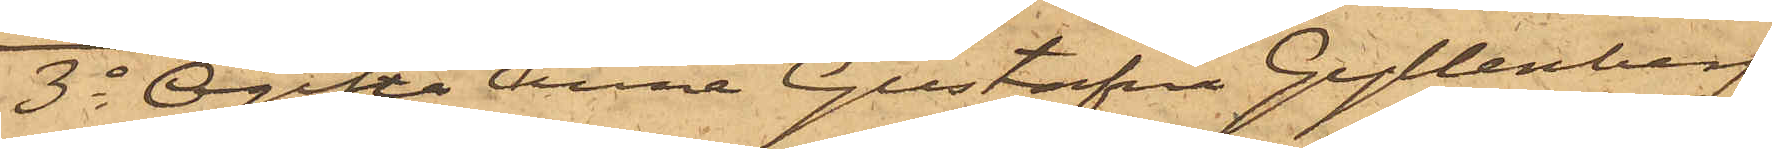3o Ogifta Anna Gustafva Gyllenberg,
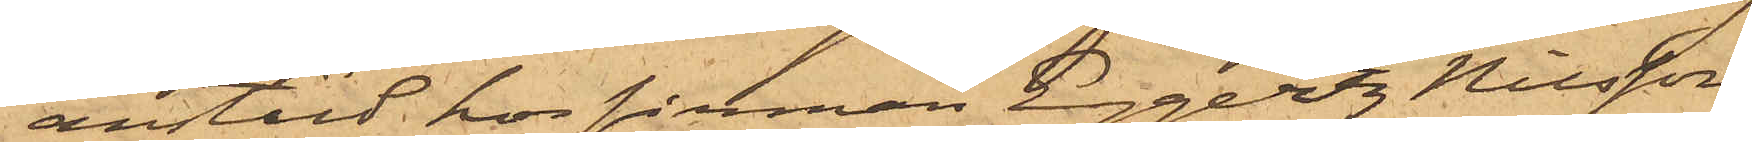anstäld hos firman Eggertz Nilsson
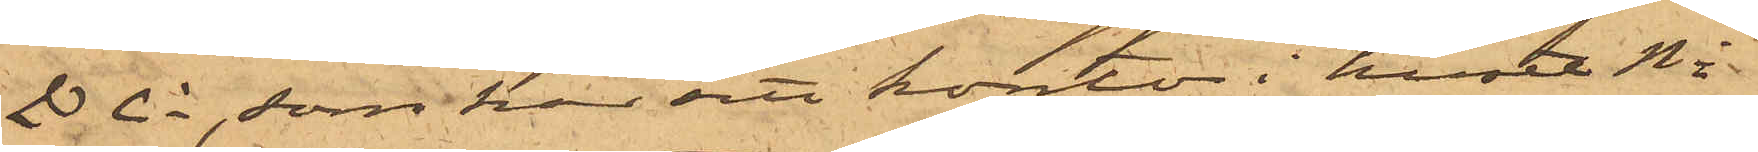& Co, som har sitt kontor i huset No
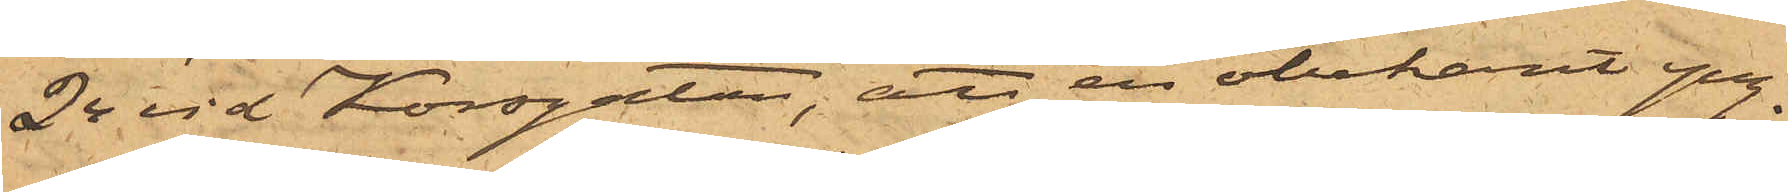24 vid Korsgatan, att en obekant yng¬
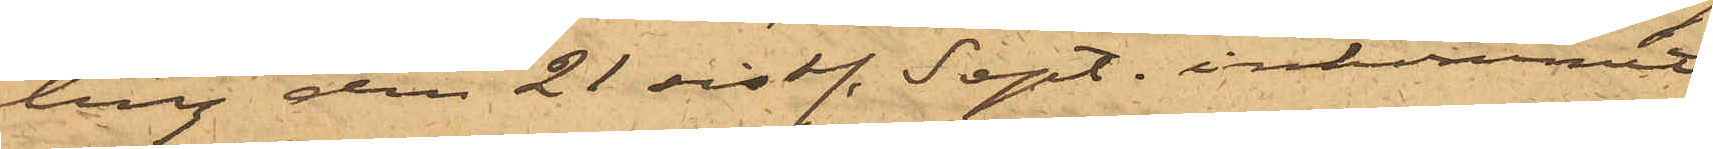ling den 21 sist. Sept. inkommit
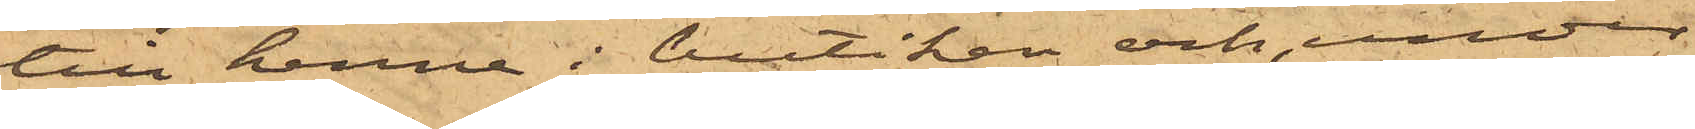till henne i butiken och, under
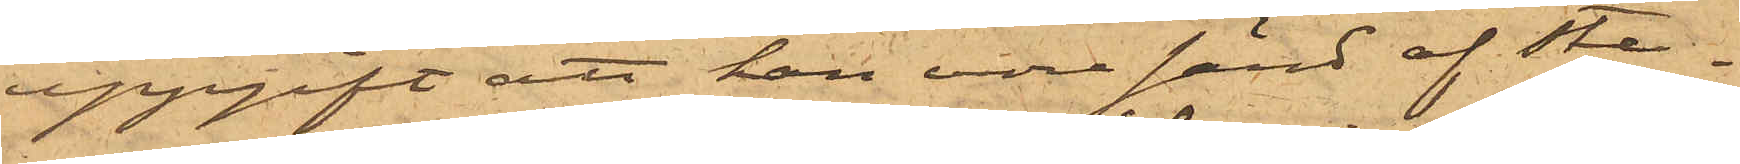uppgift att han vore sänd af ste¬
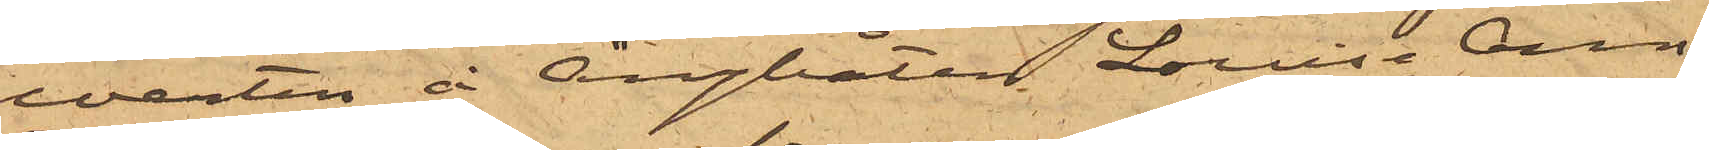warten å Ångbåten Louise Ann
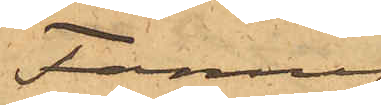Fanny,
